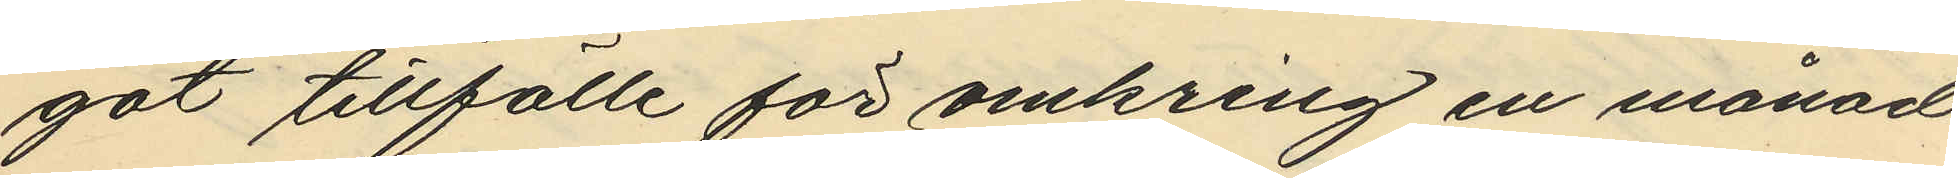got tillfälle för omkring en månad
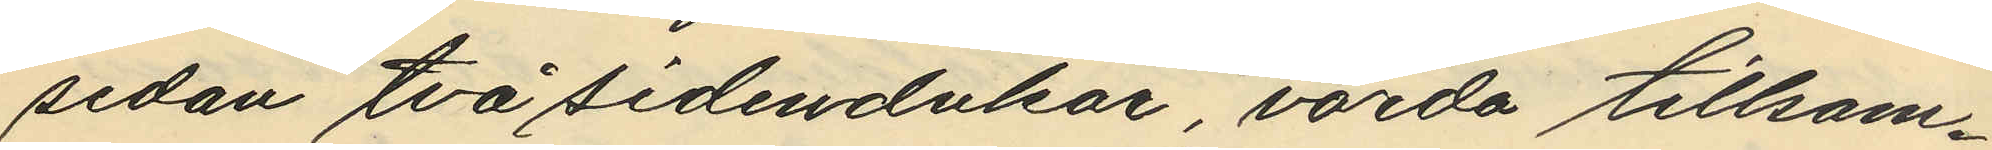sedan två sidendukar, värda tillsam¬
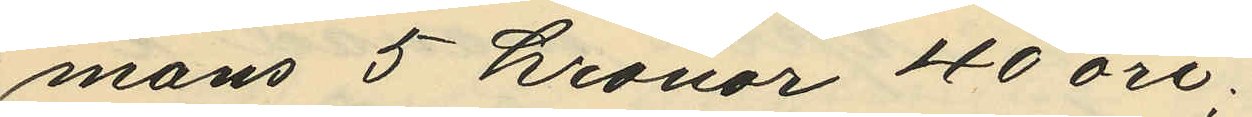mans 5 kronor 40 öre.
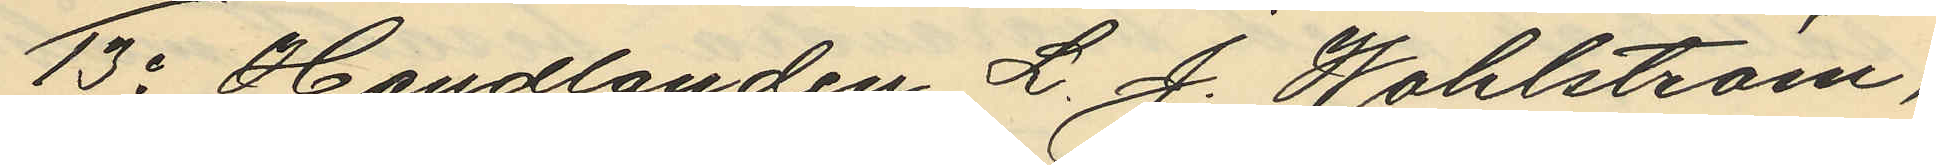13o Handlanden L. J. Wahlström,
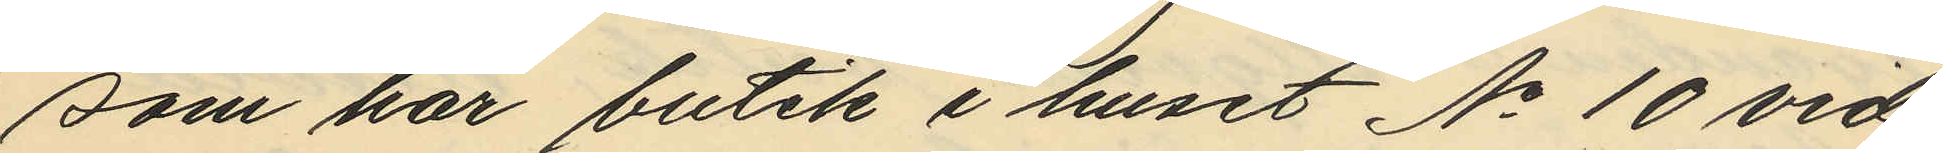som har butik i huset No 10 vid
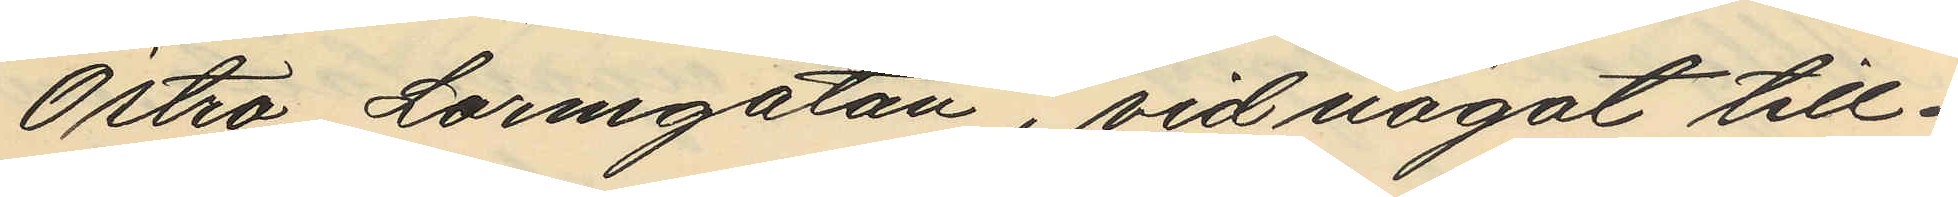Östra Larmgatan, vid något till¬
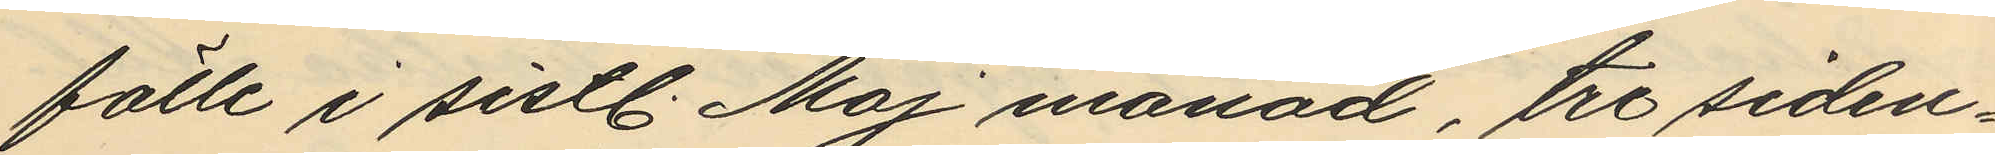fälle i sistl. Maj månad, tre siden¬
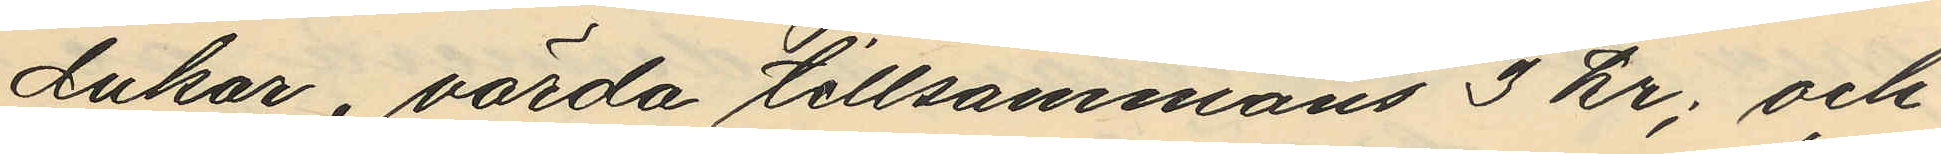dukar, värda tillsammans 3 kr; och
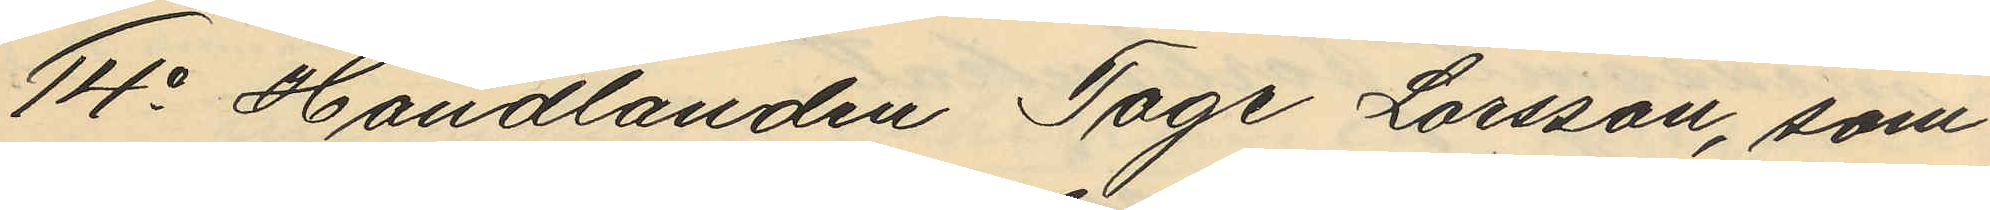14o Handlanden Tage Larsson, som
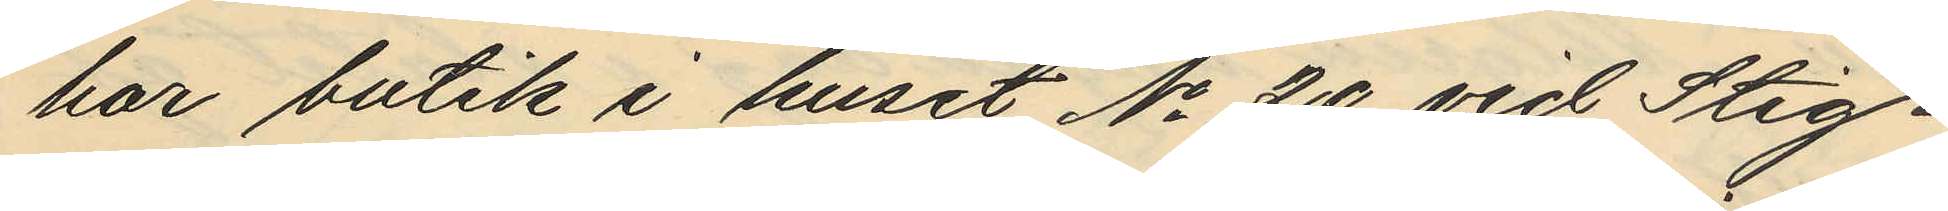har butik i huset No 20 vid Stig¬
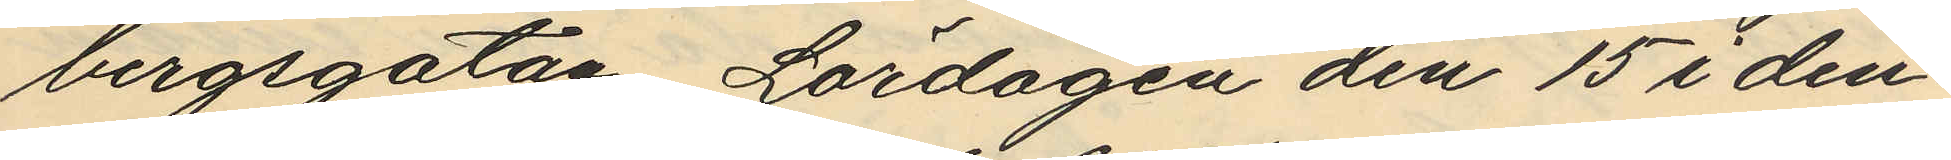bergsgatan Lördagen den 15 i den¬
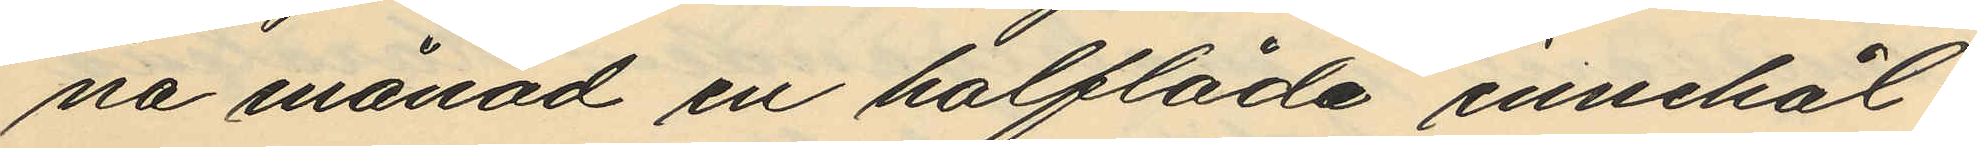na månad en halflåda innehål¬
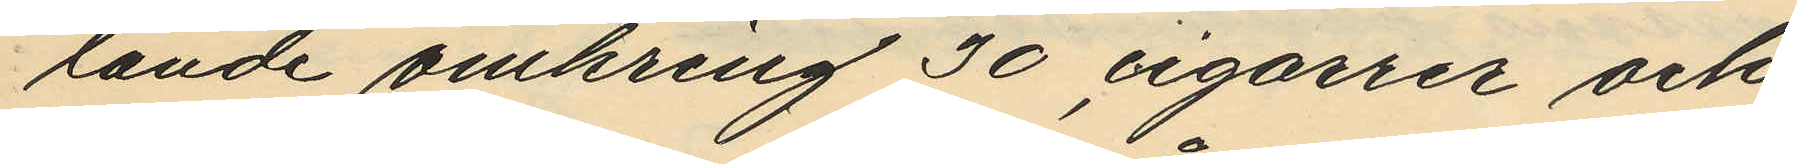lande omkring 30 cigarrer och
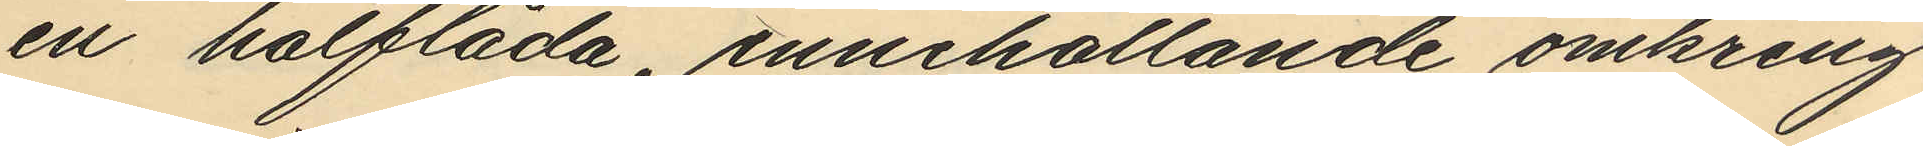en halflåda, innehållande omkring
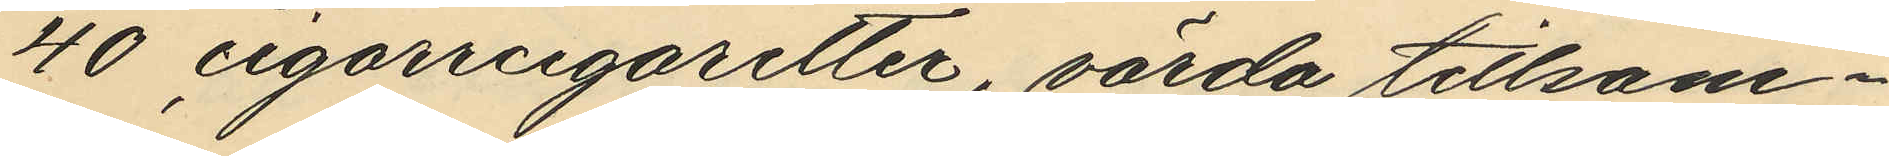40 cigarrcigaretter, värda tillsam¬
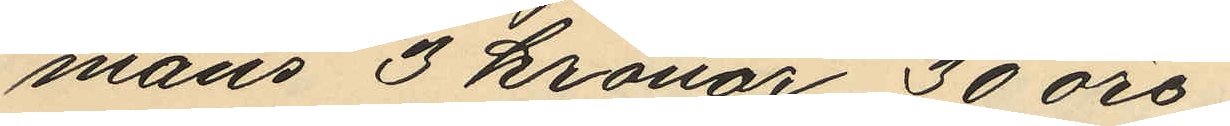mans 3 kronor 30 öre.
